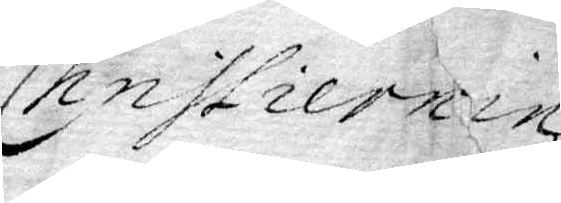Christiernin
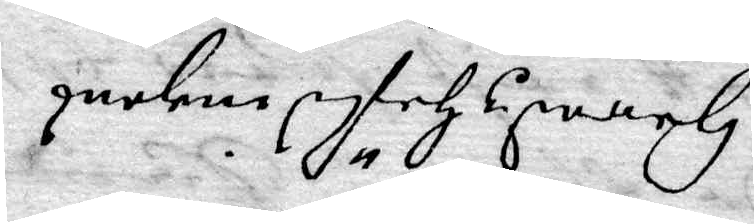Heradzhöfdinges
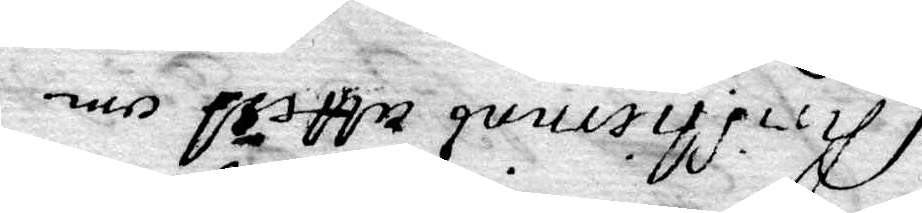Christiernins attest om
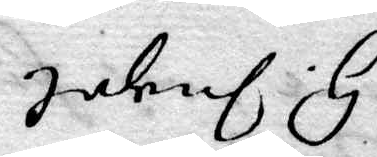H. Ingel.
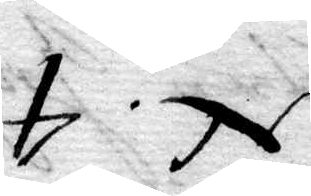N. 4.
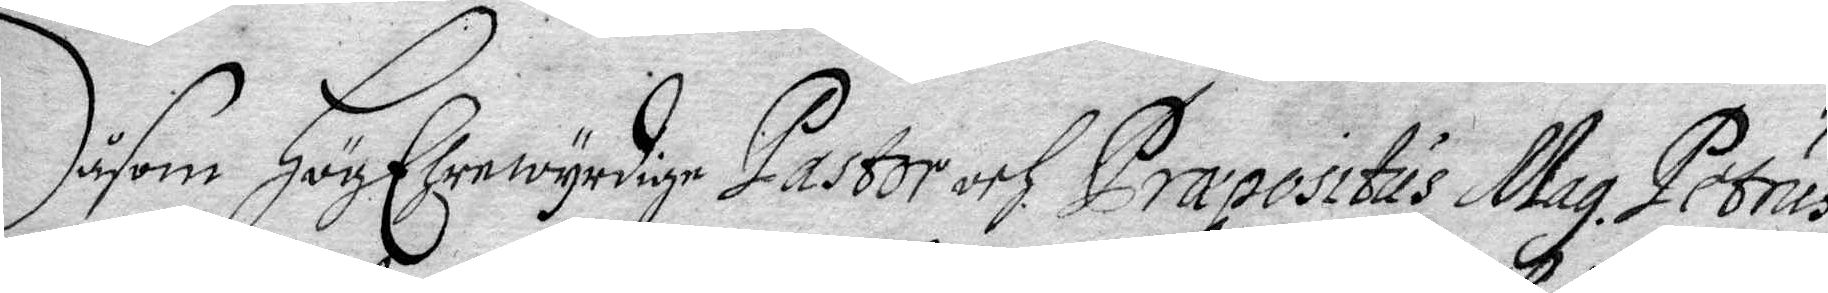Såsom HögEhrewyrdige Pastor och Præpositus Mag. Petrus
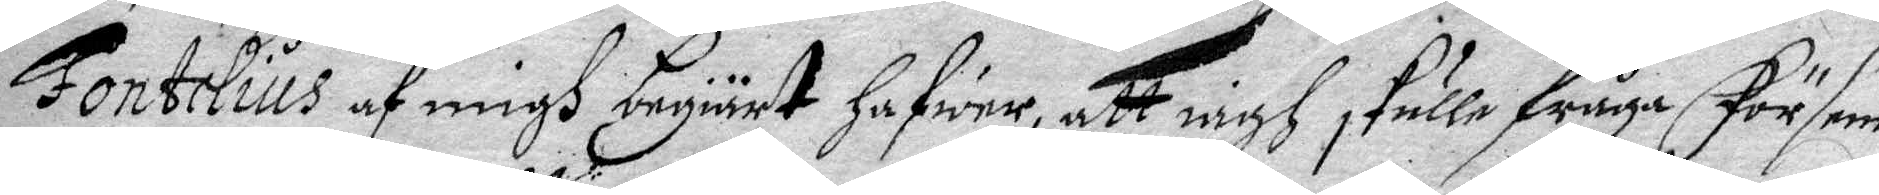Fontelius af migh begiärt Hafwer, att iagh skulle fråga försam¬
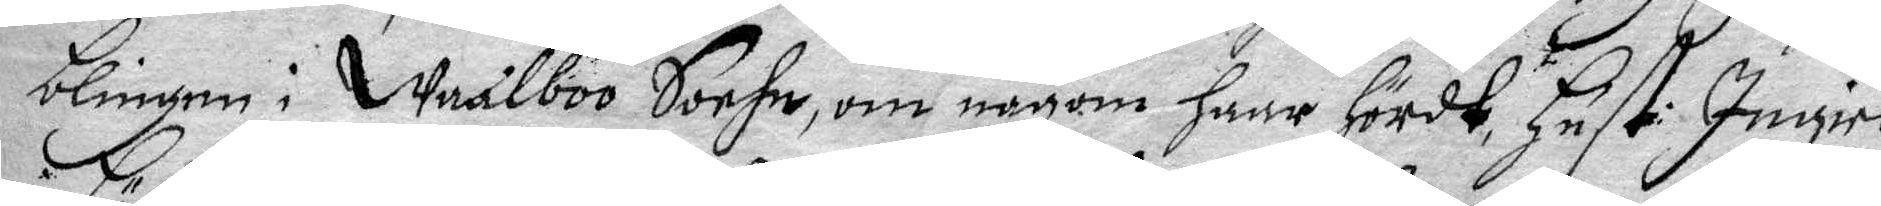blingen i Waalboo Sochn, om någon haar hördt, Hust: Ingiel
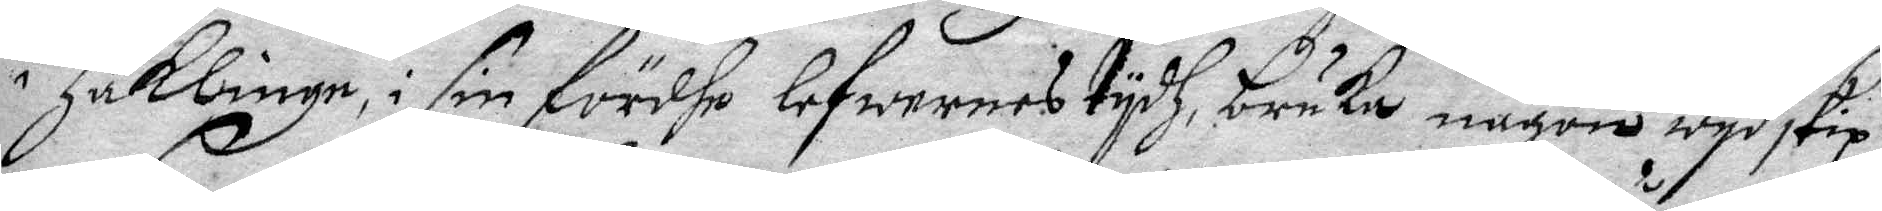i Häklinge, i sin fördhe lefwernes tydh, bruka någon wydskip¬
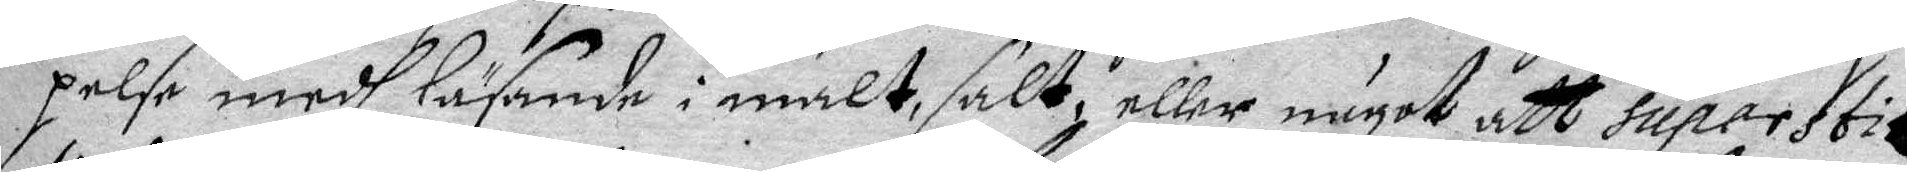pelse medh läsande i malt, salt eller något att superstit¬
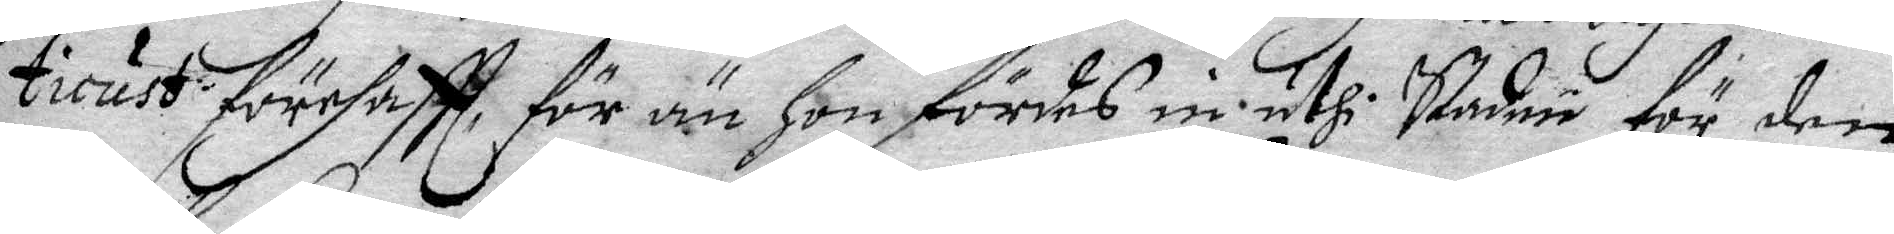licust förehaftt, för än Hon fördes in uthi Staden för den
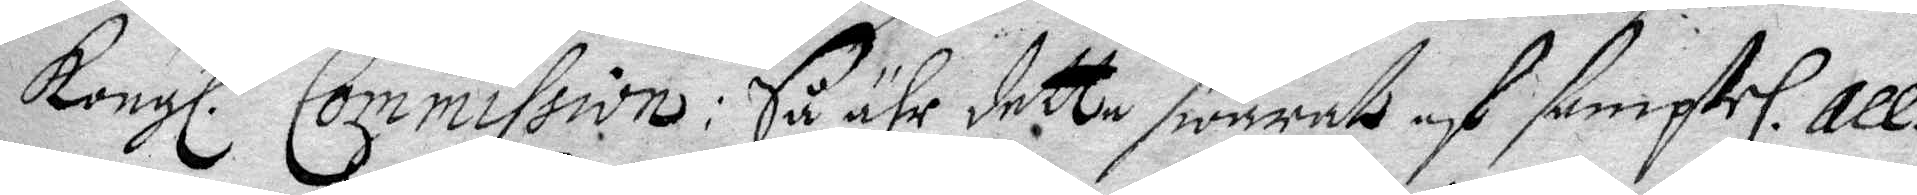Kongl. Commisssion: Så ähr dette swarade af samptel. All¬
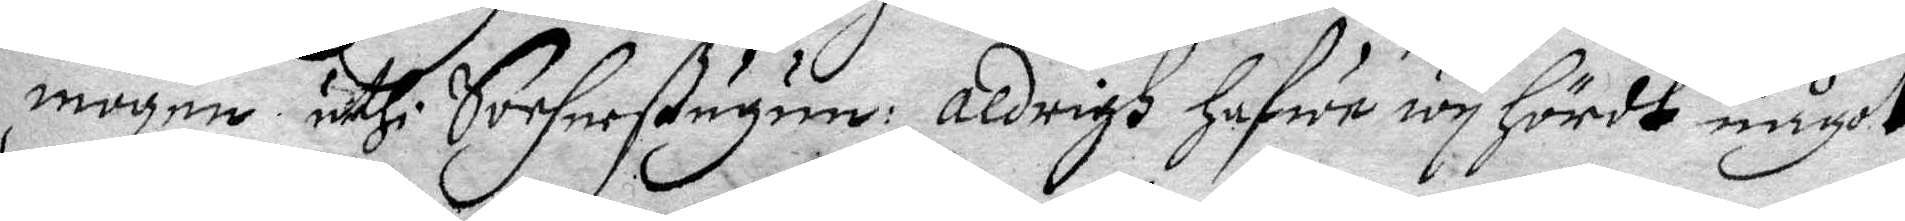mogen uthi Sochnestugun; Aldrigh Hafwe wy Hördt något
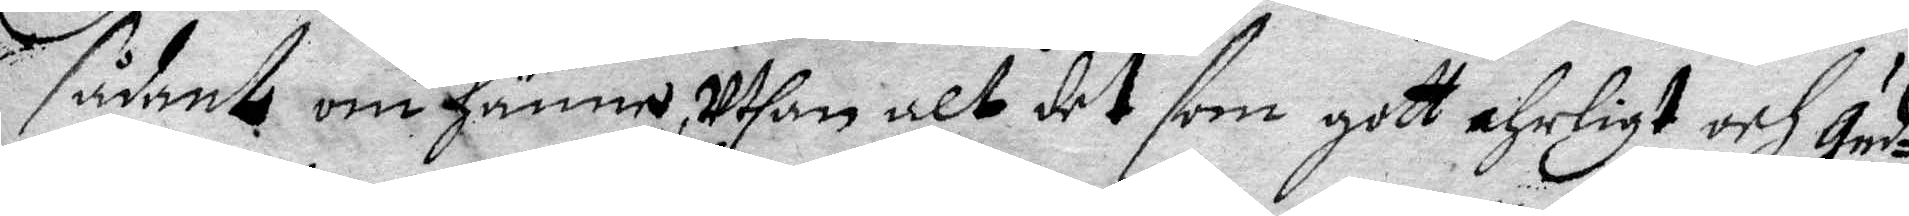sådant om Hänne, uthan alt det som gott ehrligt och Gud¬
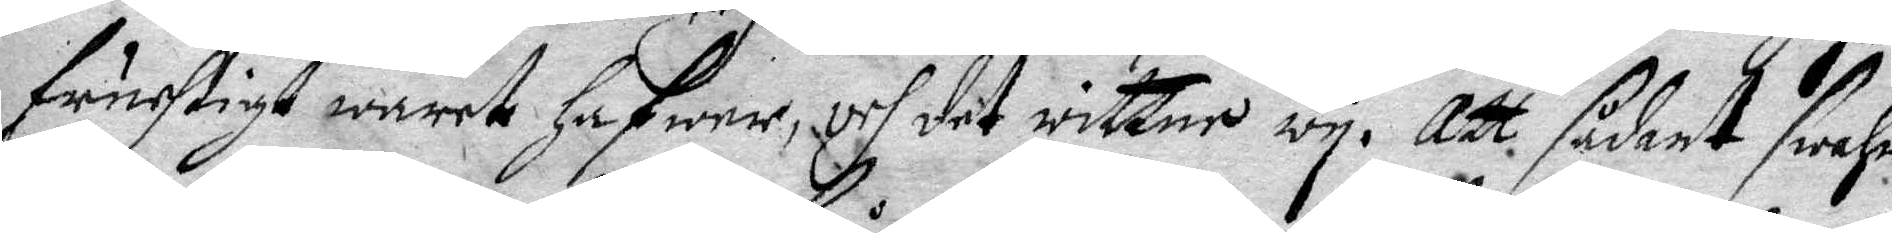fruchtigt waret Hafwer, och det wittne wy. Att sådant swahr
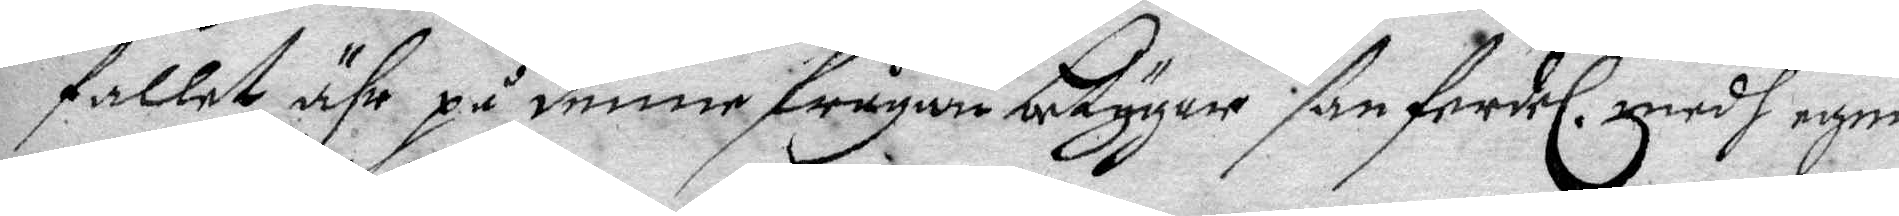fallet ähr på denne frågan betygar sanferdel. medh egen
